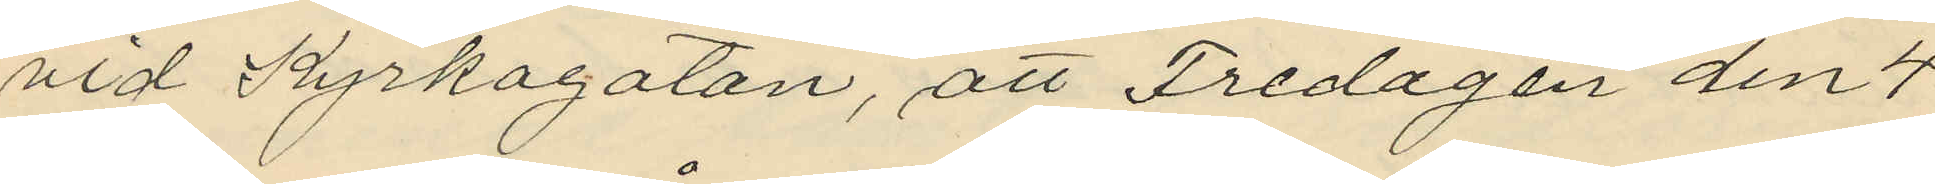vid Kyrkogatan, att Fredagen den 4
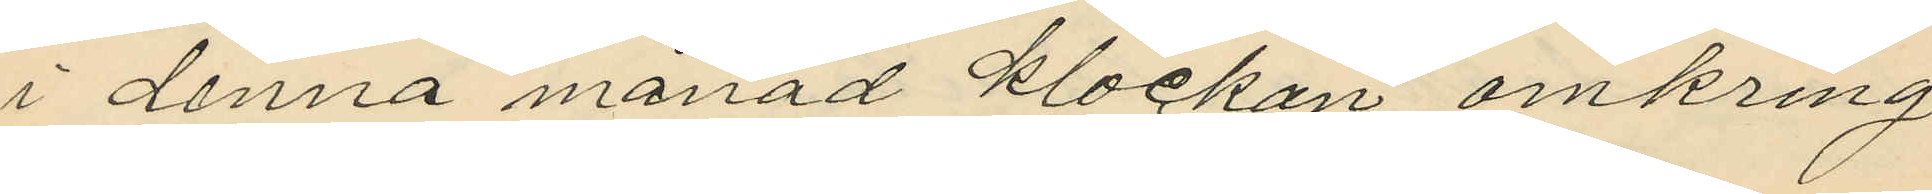i denna månad klockan omkring
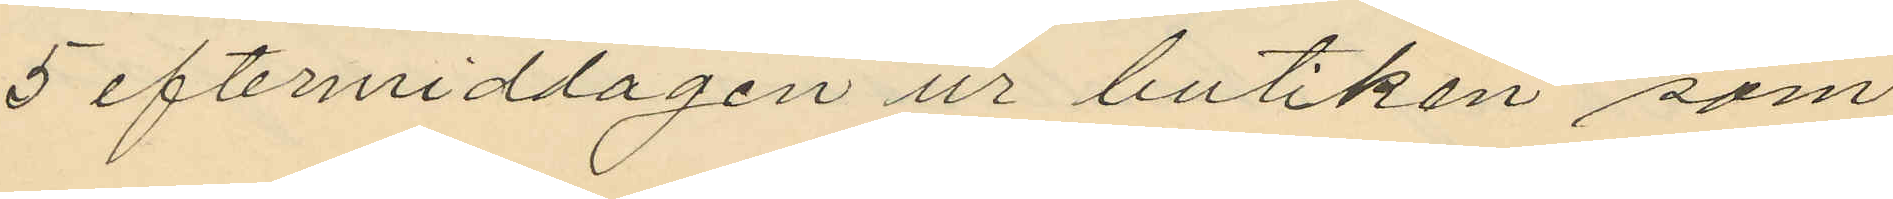5 eftermiddagen ur butiken som
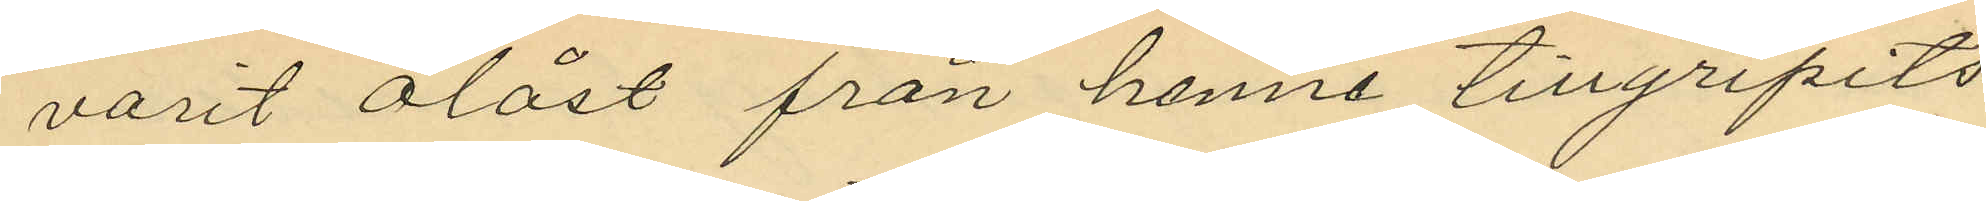varit olåst från henne tillgripits
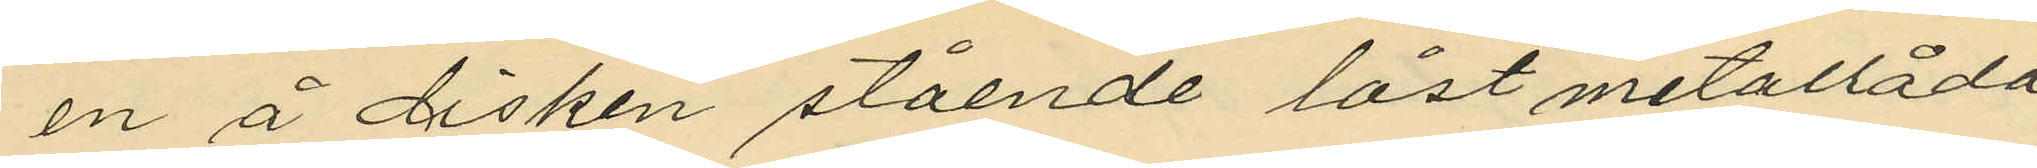en å disken stående låst metallåda,
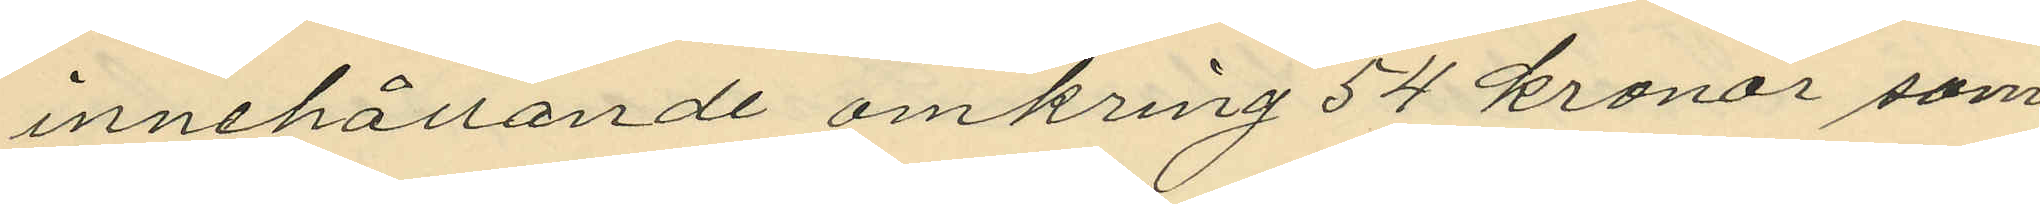innehållande omkring 54 kronor som
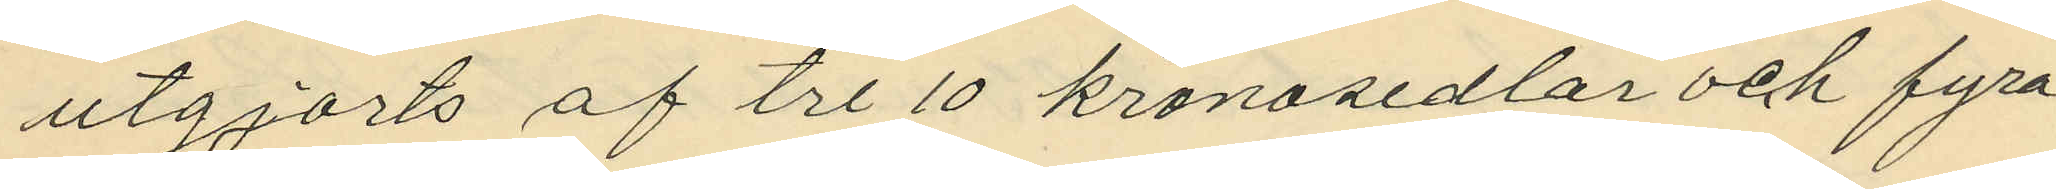utgjorts af tre 10 kronosedlar och fyra
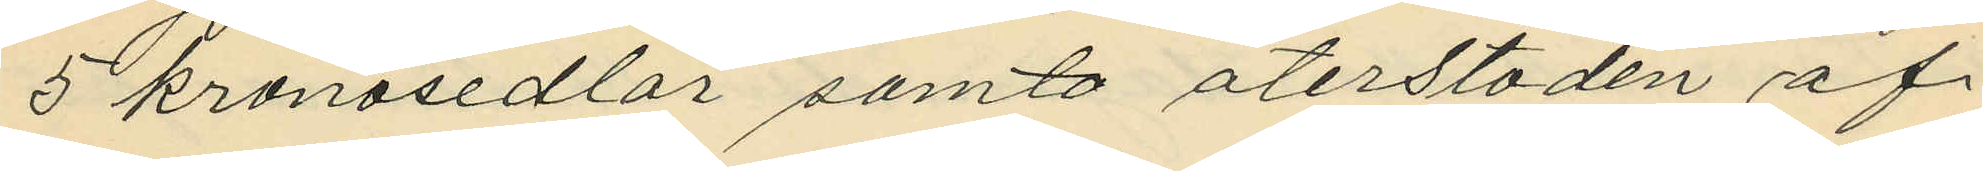5 kronosedlar samt återstoden af
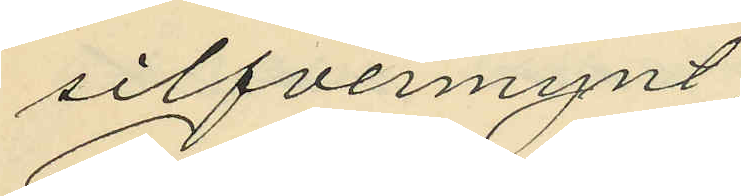silfvermynt;
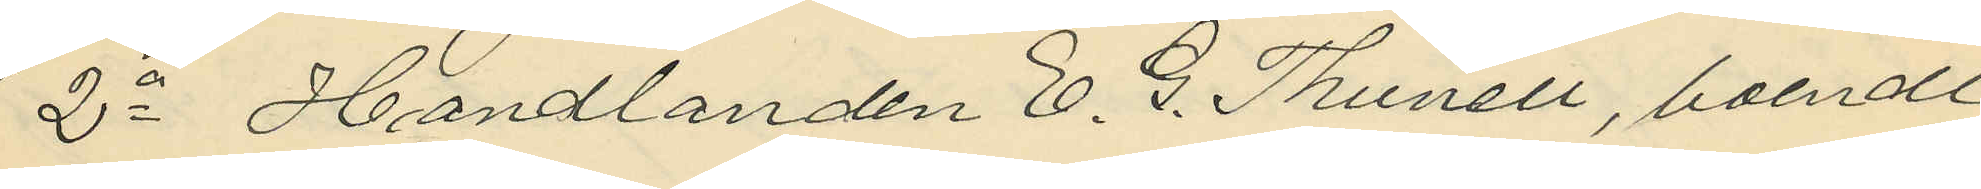2o Handlanden E. G. Thunell, boende
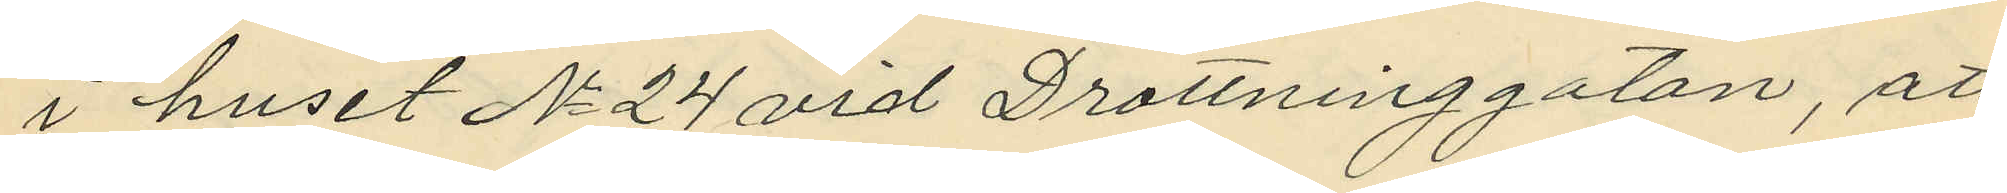i huset No 24 vid Drottninggatan, att
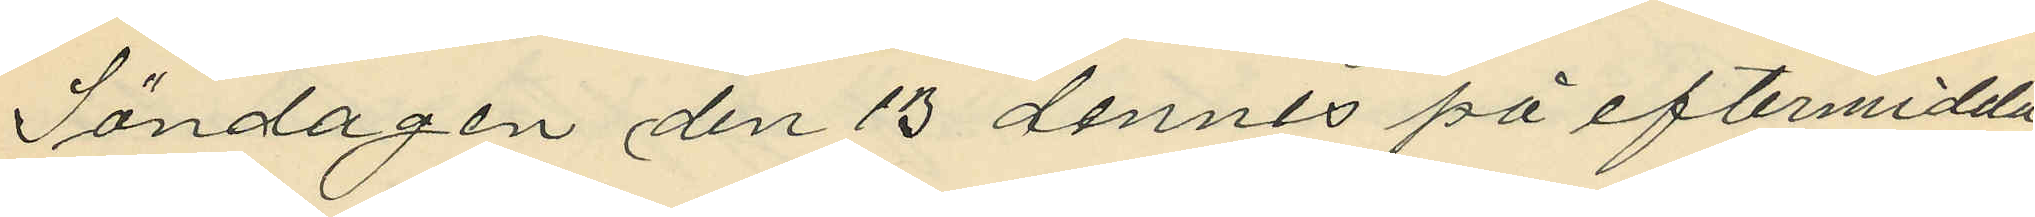Söndagen den 13 dennes på eftermidda¬
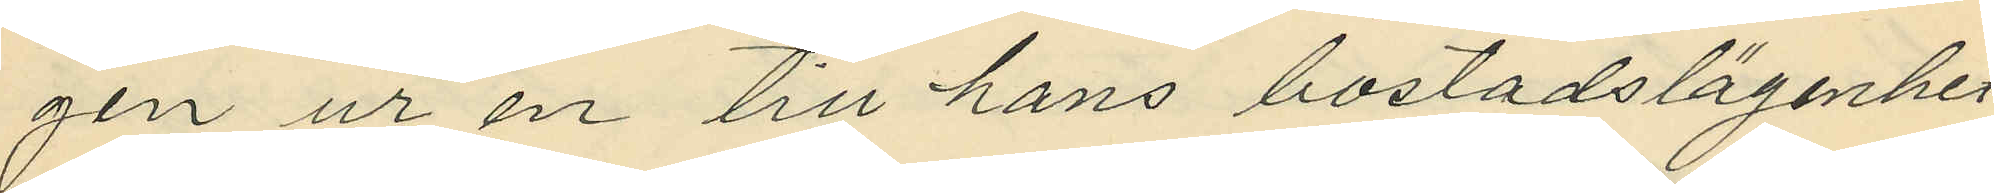gen ur en till hans bostadslägenhet
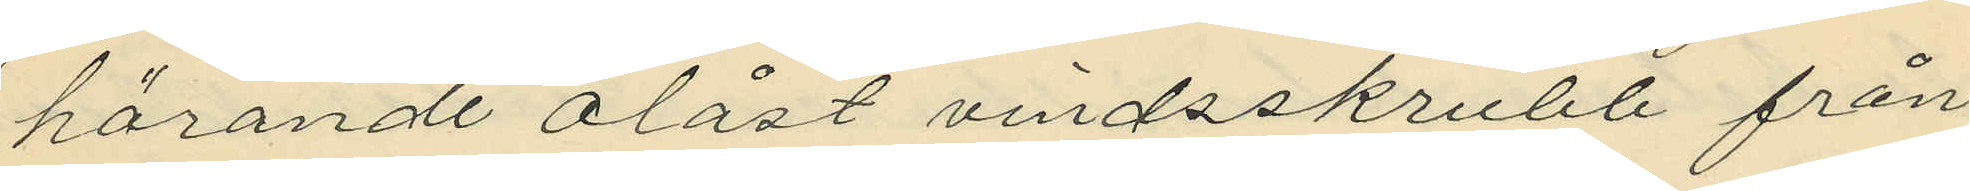hörande olåst vindsskrubb från
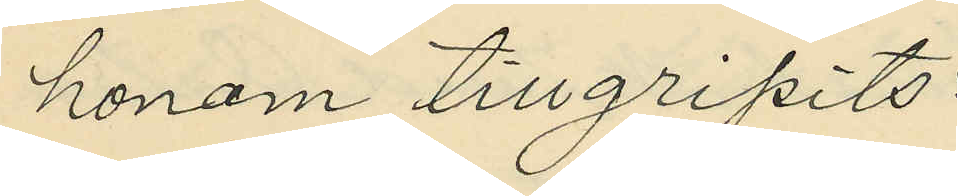honom tillgripits:
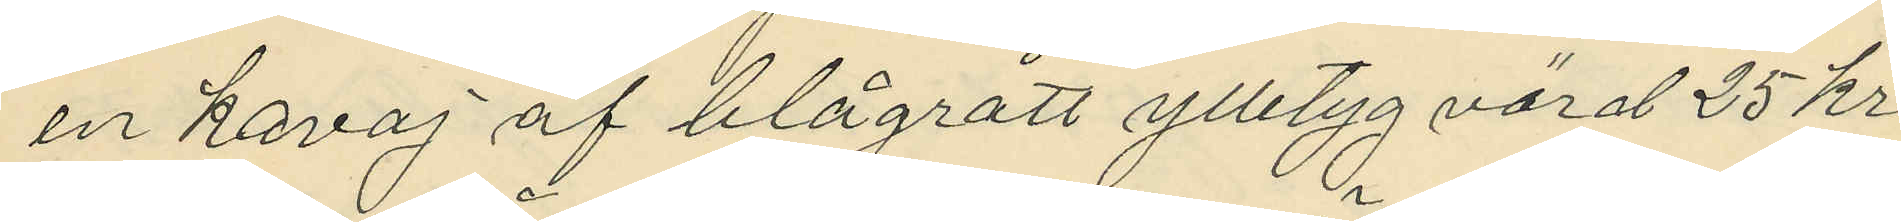en kavaj af blågrått ylletyg värd 25 kr
